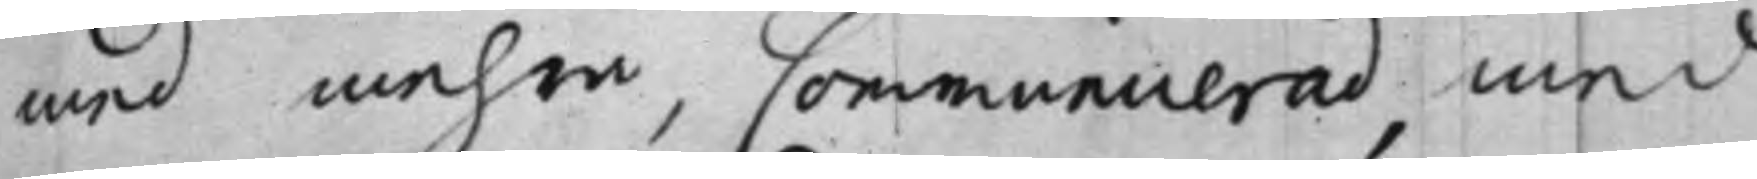med mehra, Communicerad, med
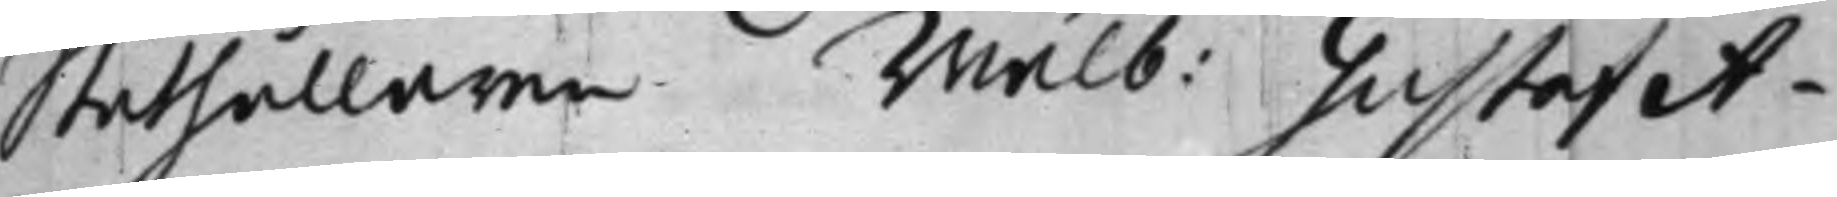Ståthållaren Wälb: Gustaf A¬
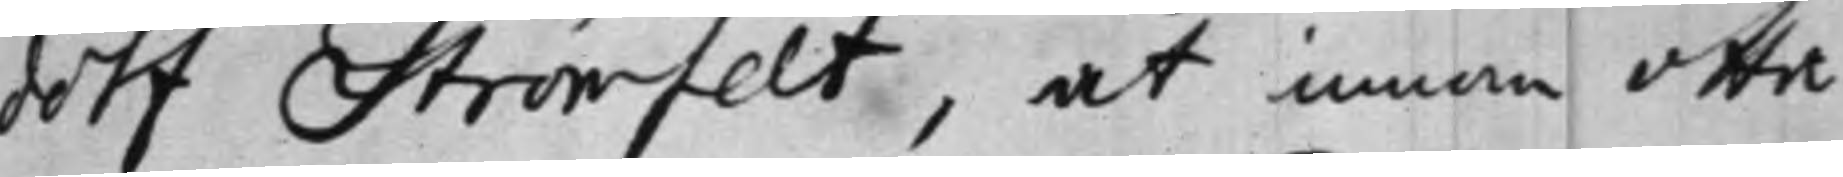dolf Strömfelt, at innan otta
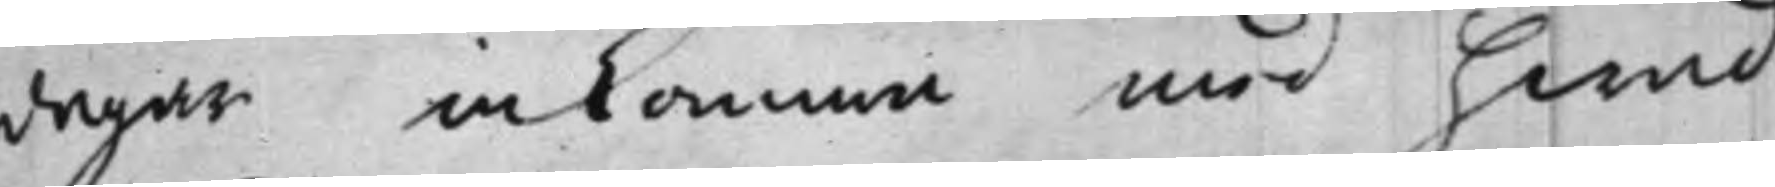dagar inkomma med hwad
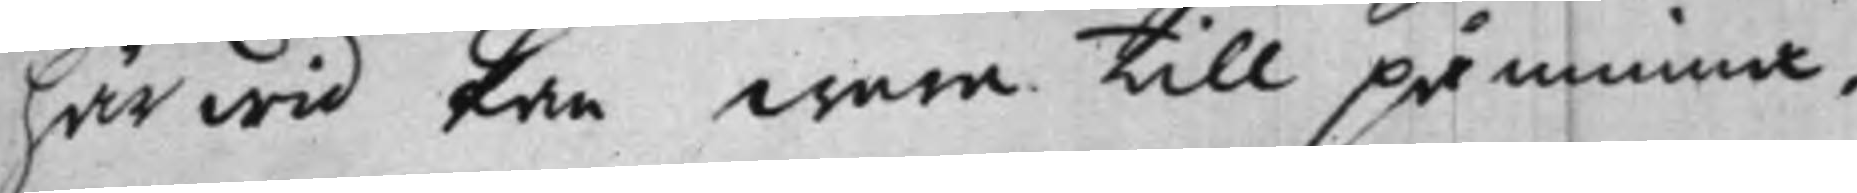härwid kan wara till påminna,
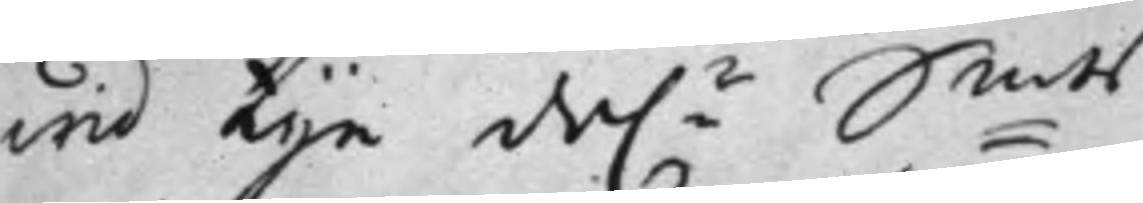wid tije dal.r S:mts
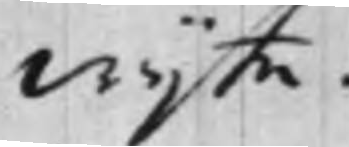wijte.
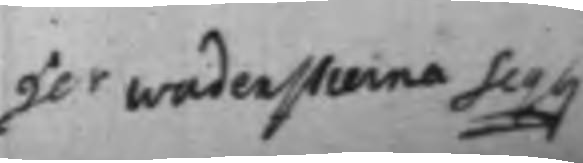Her Wadenstierna Seq:g
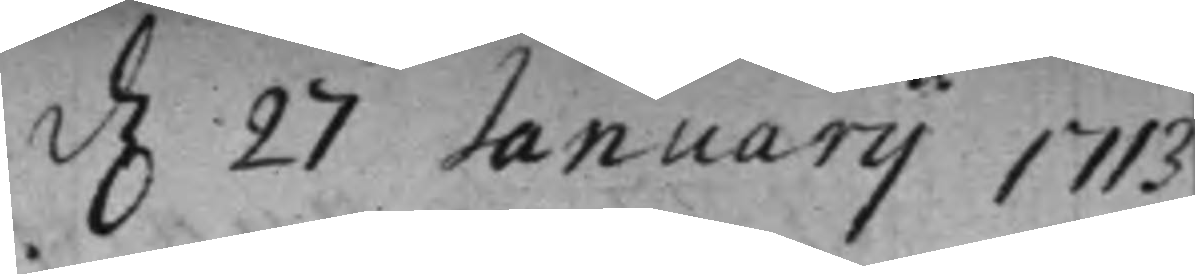d. 27 Januarij 1713
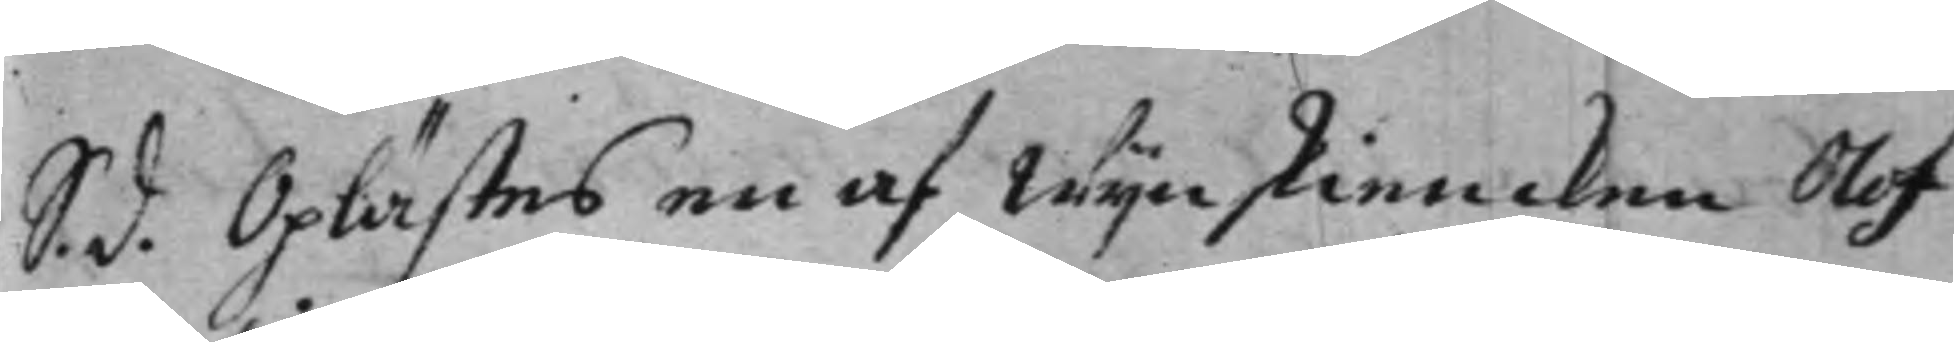S. d. Oplästes en af Wijnskiencken Olof
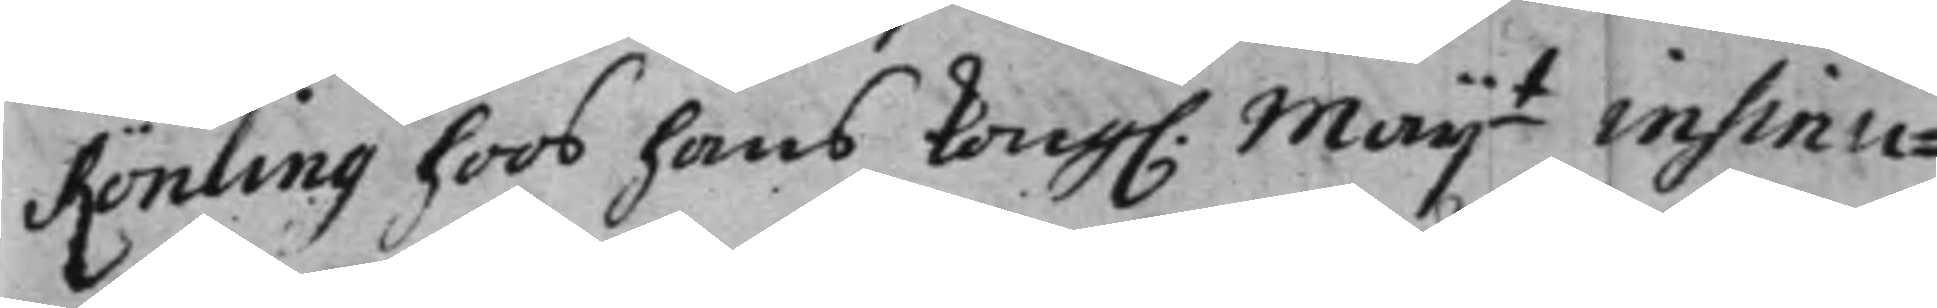Rönling hoos hans Kong: Maij.t insinu¬
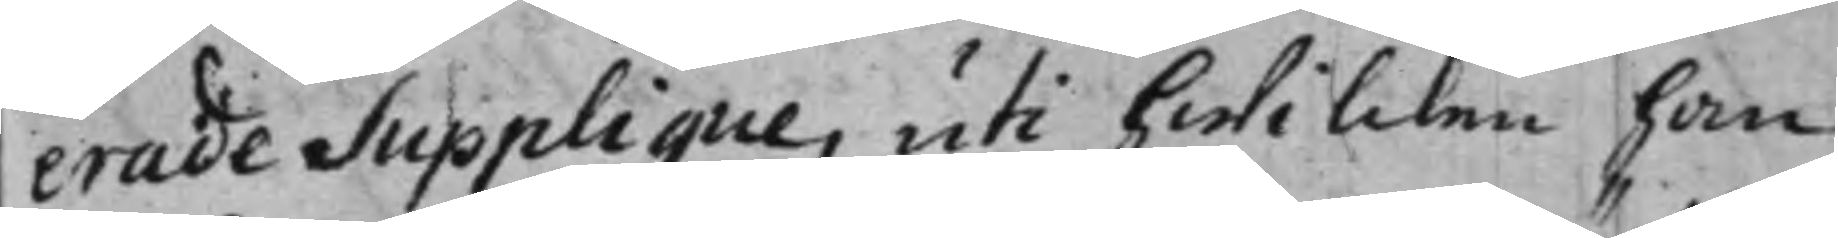erade Supplique, uti hwilcken han
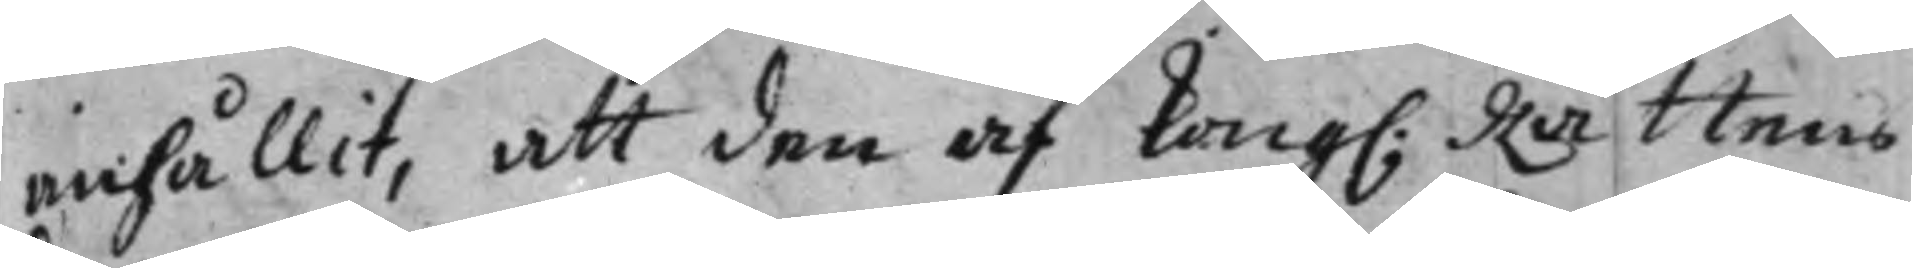anhållit, att den af Kong: Rättens
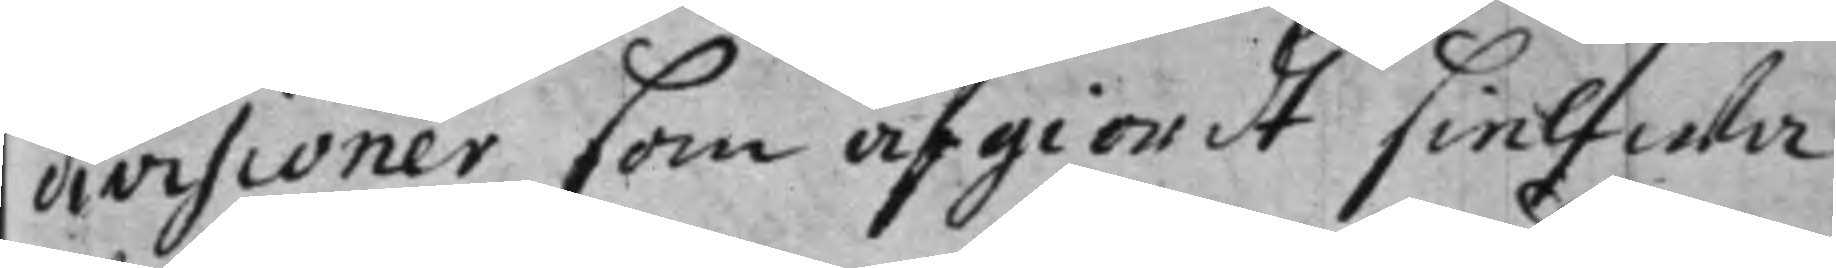divisioner som afgiordt sielfwa
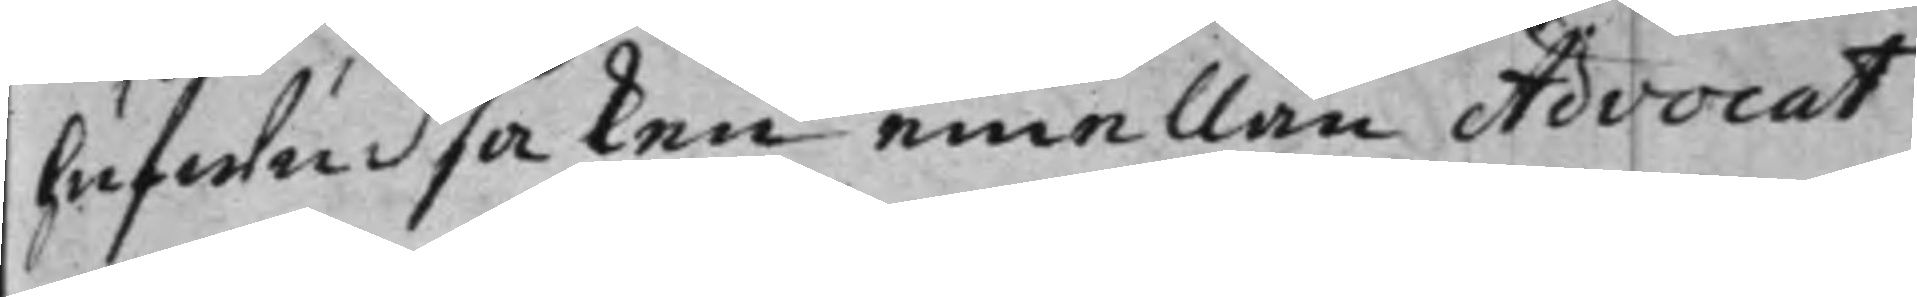hufwudsaken emellan Advocat
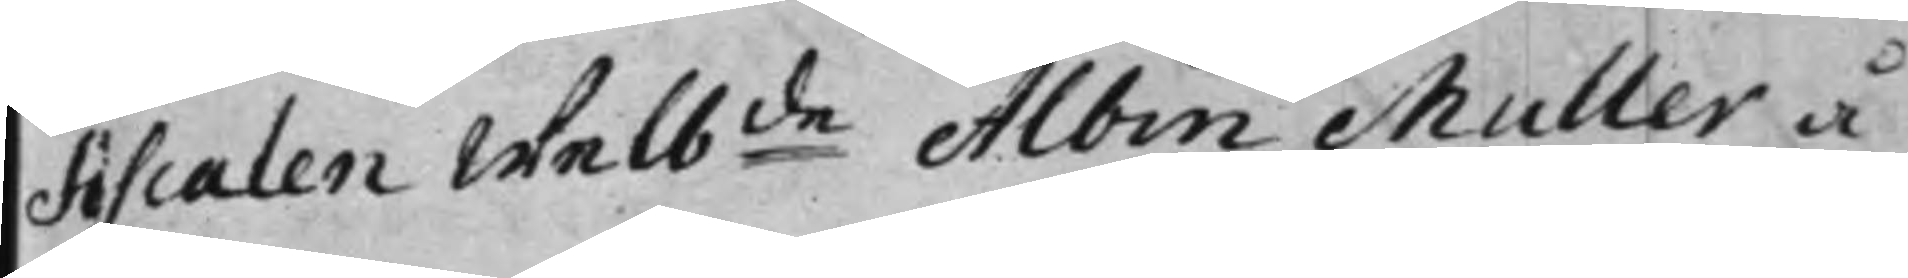Fiscalen Welb:de Albin Muller å
